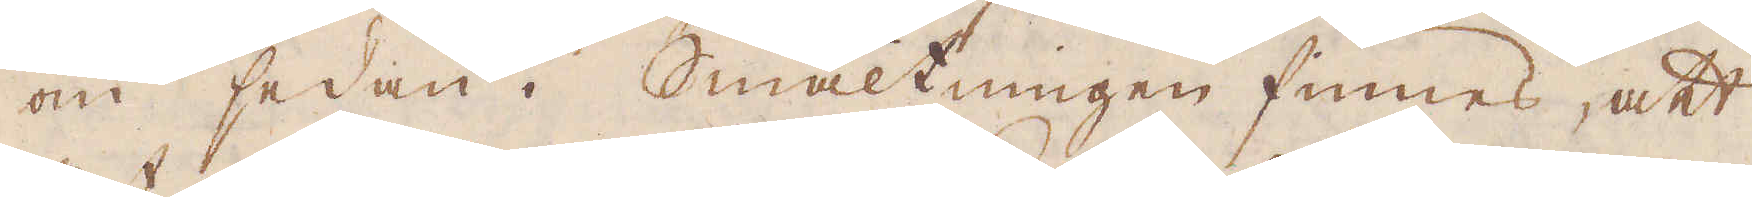om sedan i Smältningen finnes, att
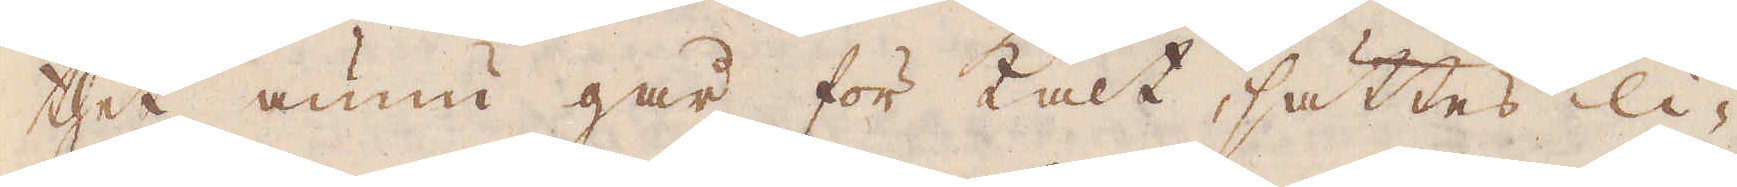thet ännu går för kalt, sättes li-
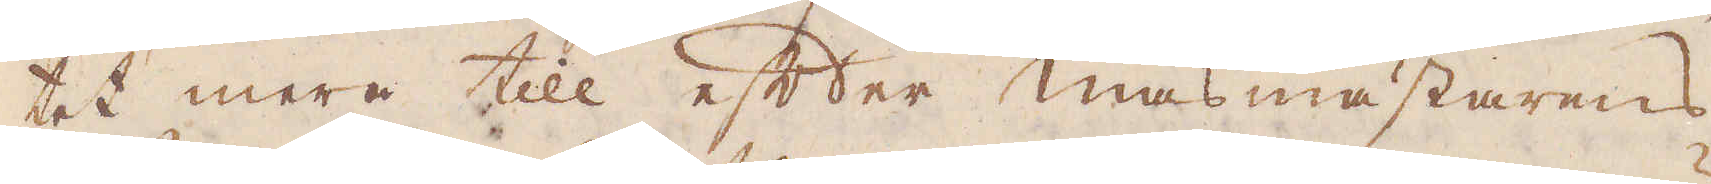tet mera till efter masmästarens
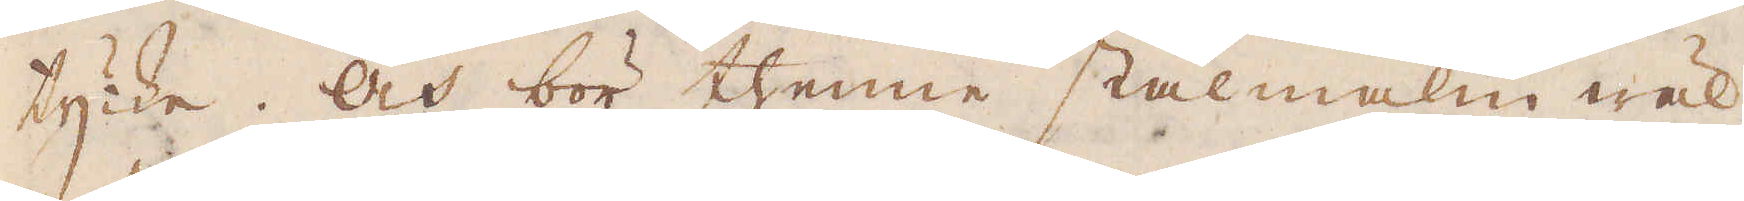tycke. Och bör thenne stålmalm wäl
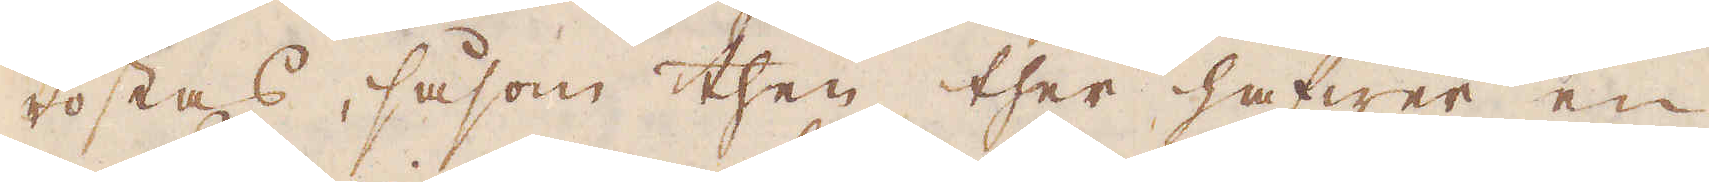rostas, såsom then ther hafwer en
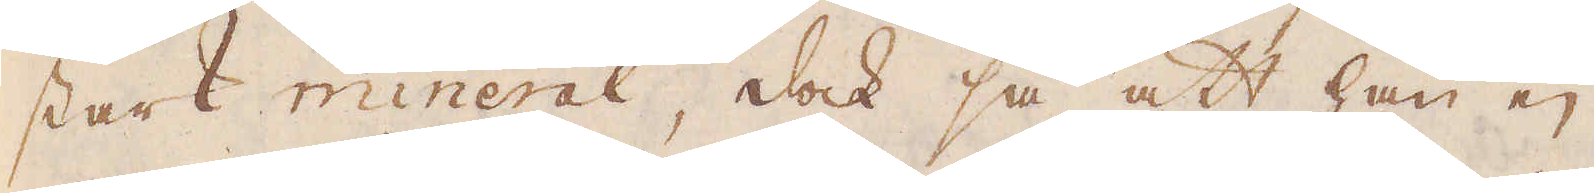stark mineral, dock så att han ej
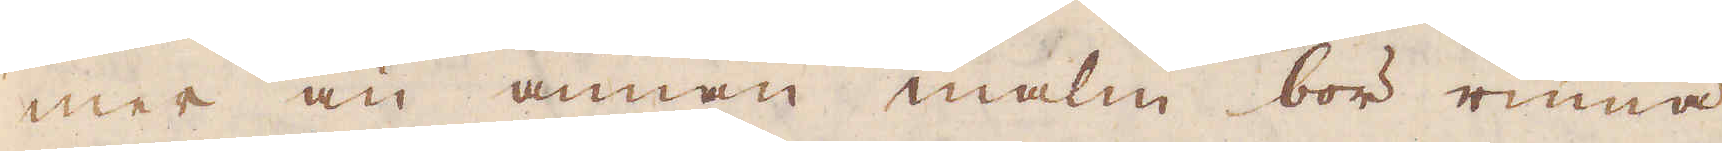mer än annan malm bör rinna
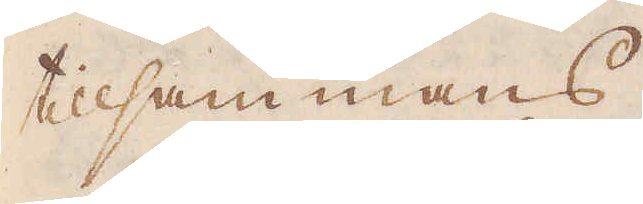tillsammans.
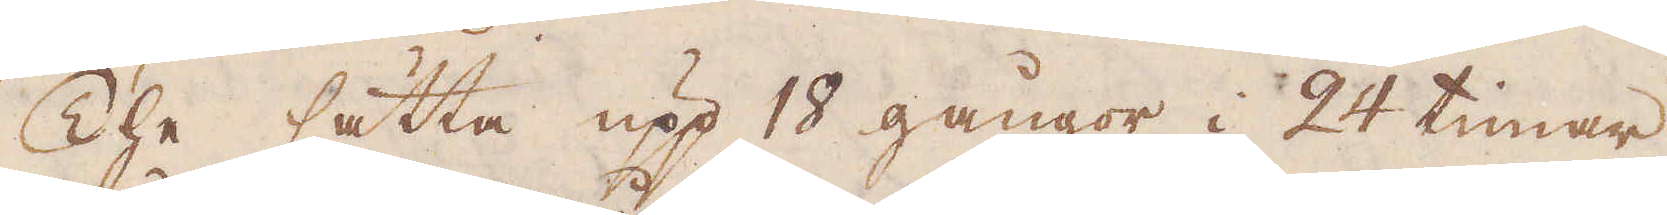The sätta upp 18 gångor i 24 timar,
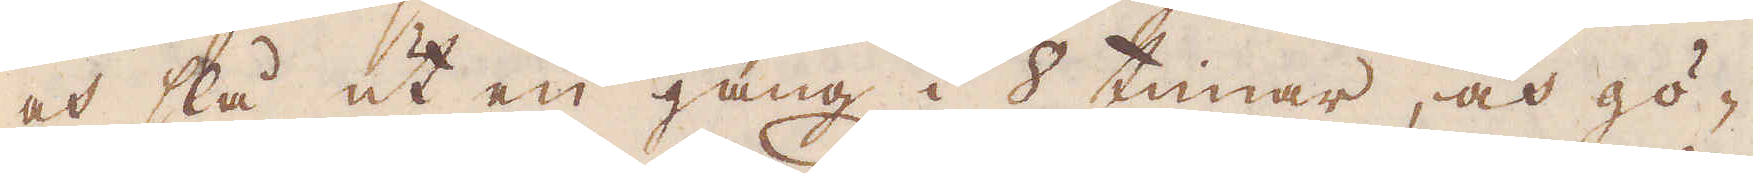och slå ut en gång i 8 timar, och gö-
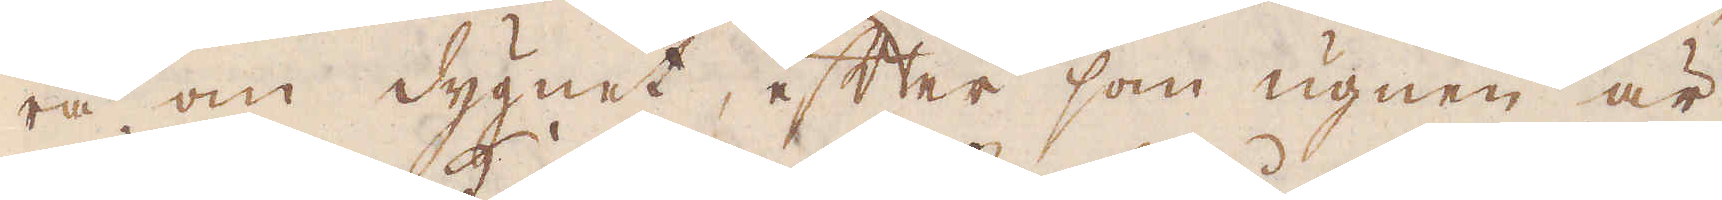ra om dygnet, efter som ugnen är
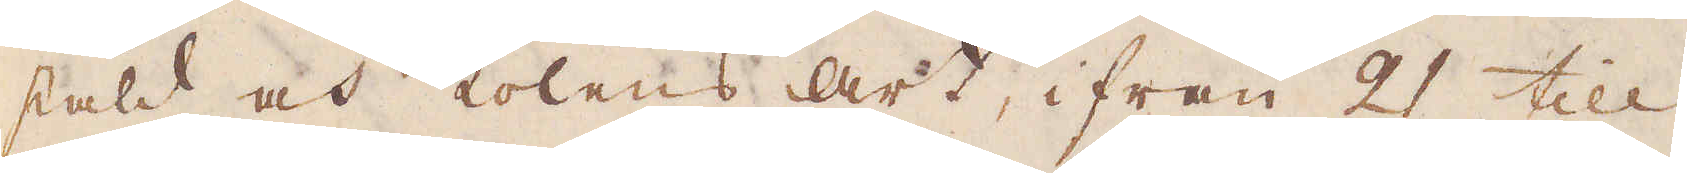stäld och kolens art, ifrån 21 till
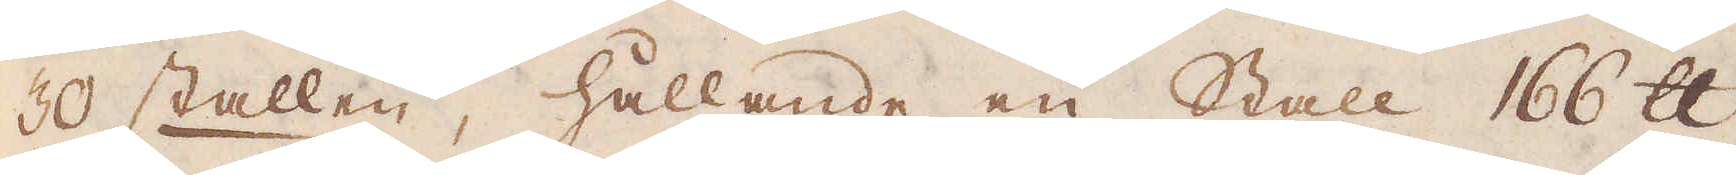30 stallen, hållande en Stall 166 skålpund
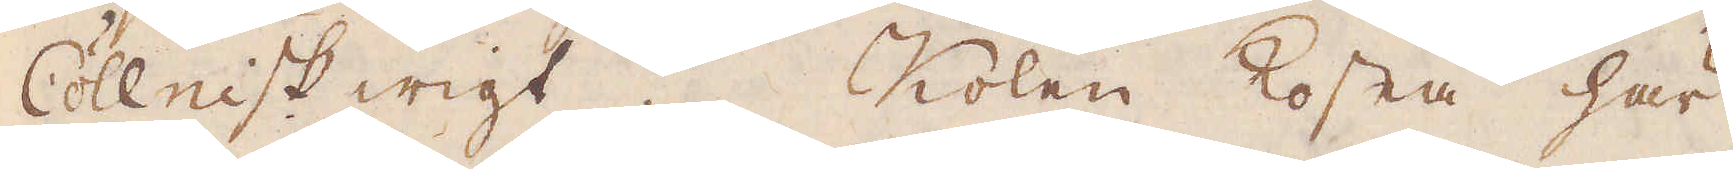Cöllnisk wigt. Kolen kosta här
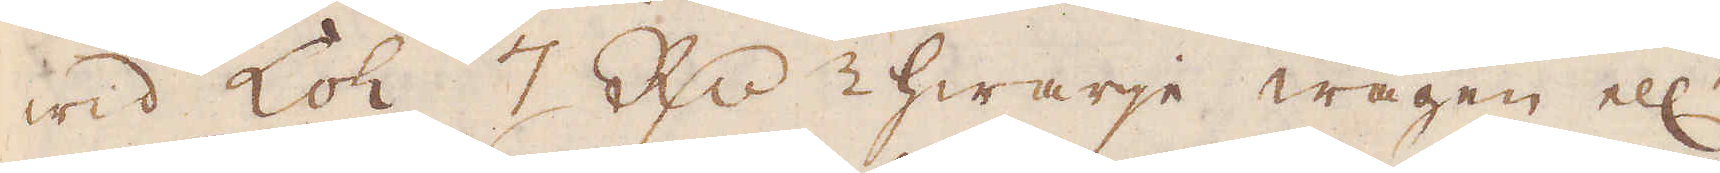wid Loh 7 R:dr hwarje wagen ell:r
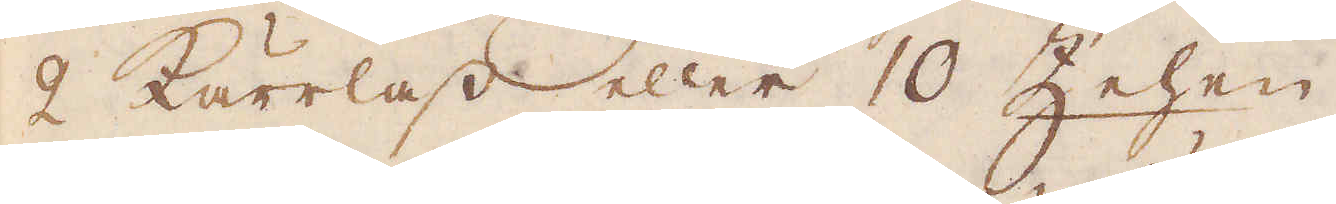2 kärrlass eller 10 Zehen.
